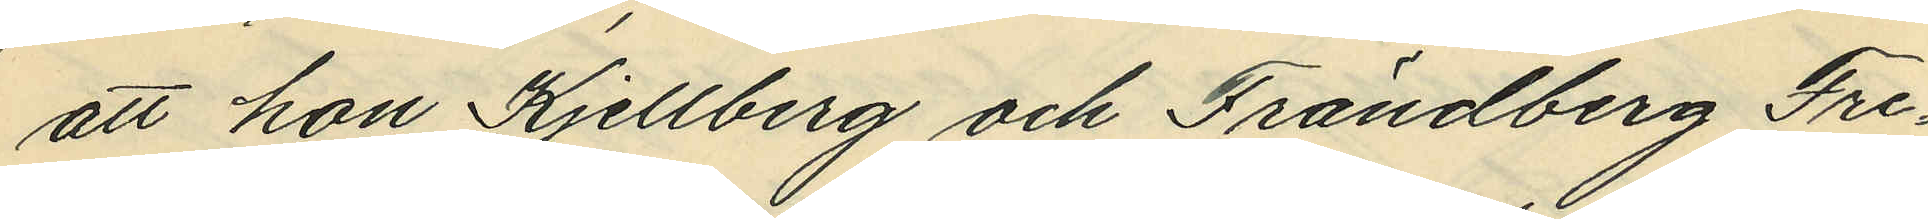att hon Kjellberg och Frändberg Fre¬
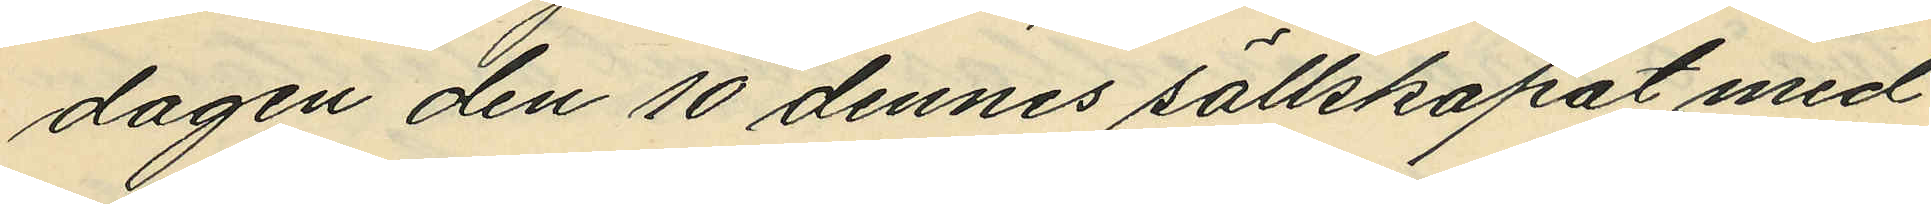dagen den 10 dennes sällskapat med
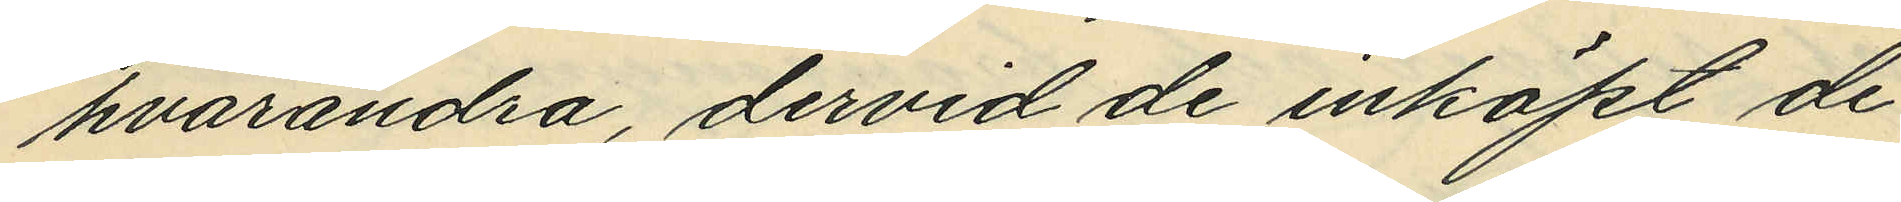hvarandra, dervid de inköpt de
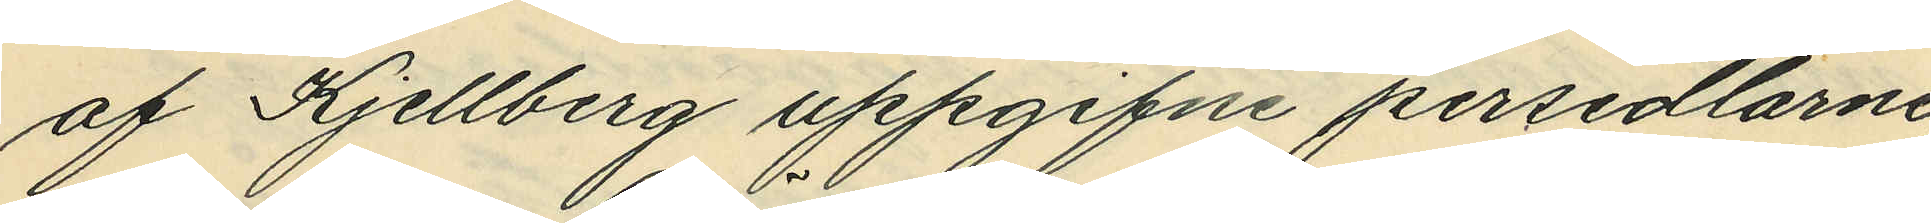af Kjellberg uppgifne persedlarne
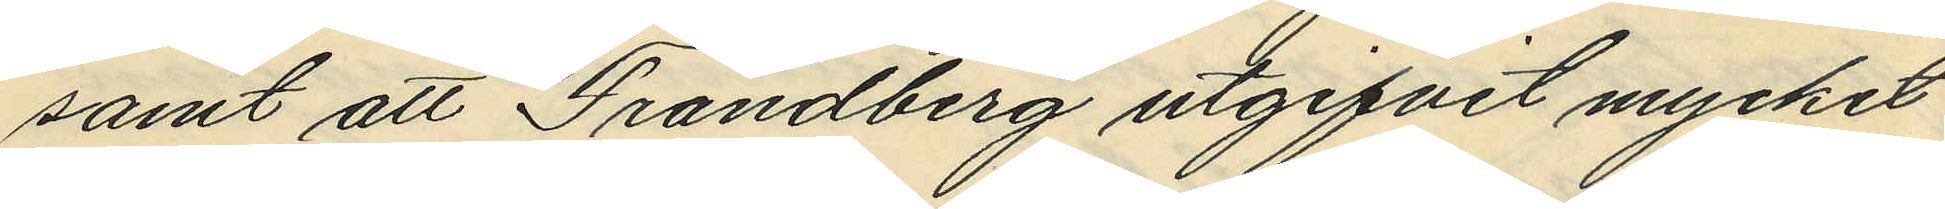samt att Frändberg utgifvit mycket
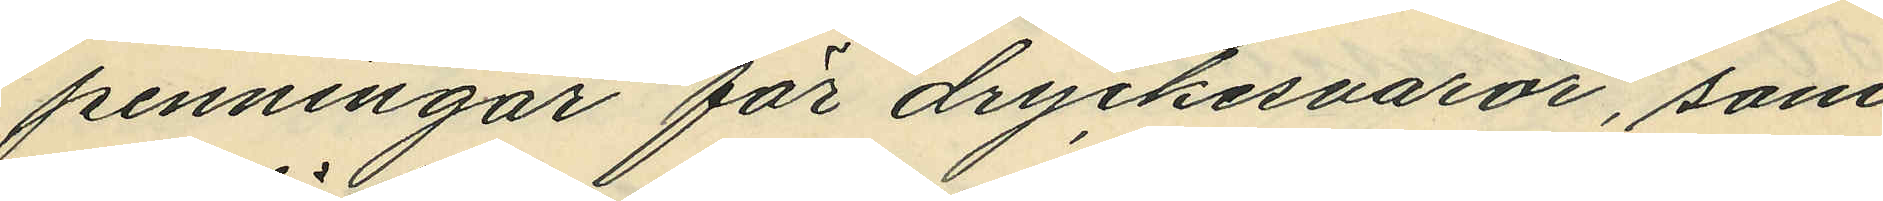penningar för dryckesvaror, som
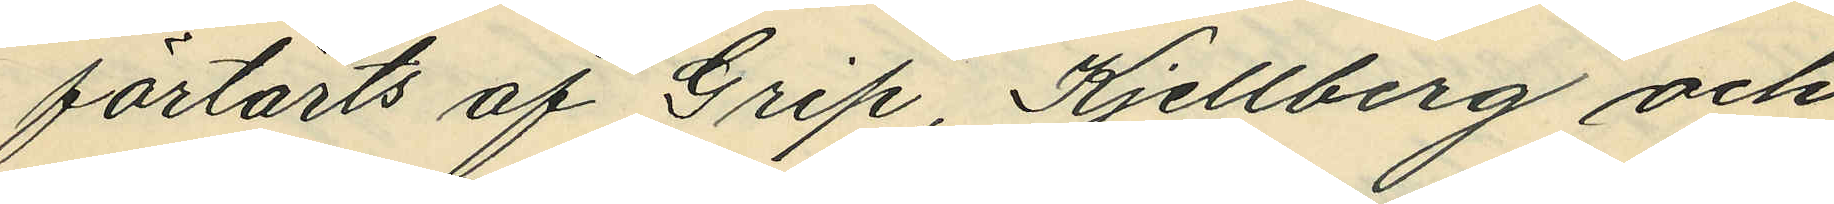förtärts af Grip, Kjellberg och
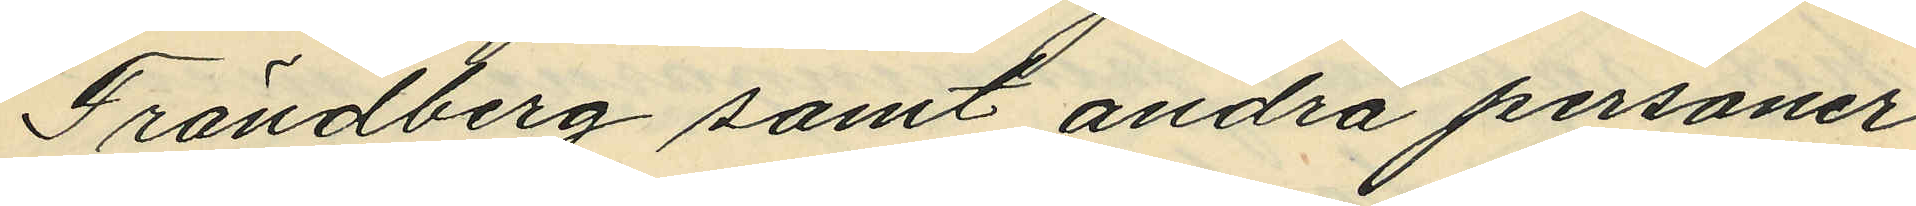Frändberg samt andra personer
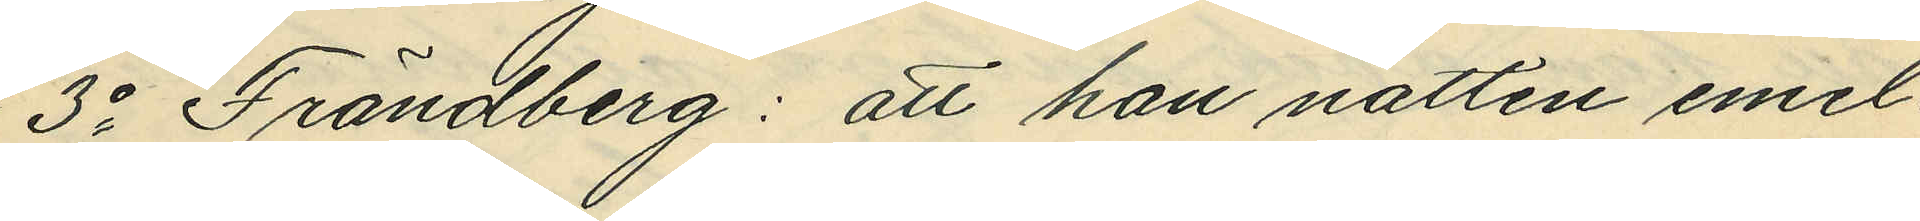3o Frändberg: att han natten emel¬
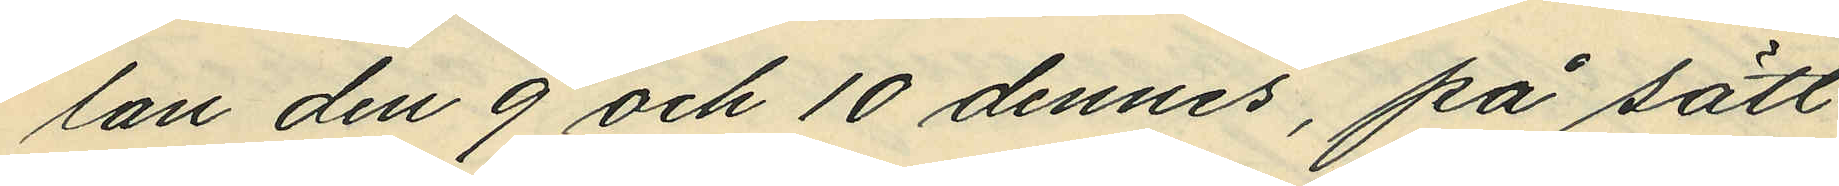lan den 9 och 10 dennes, på sätt
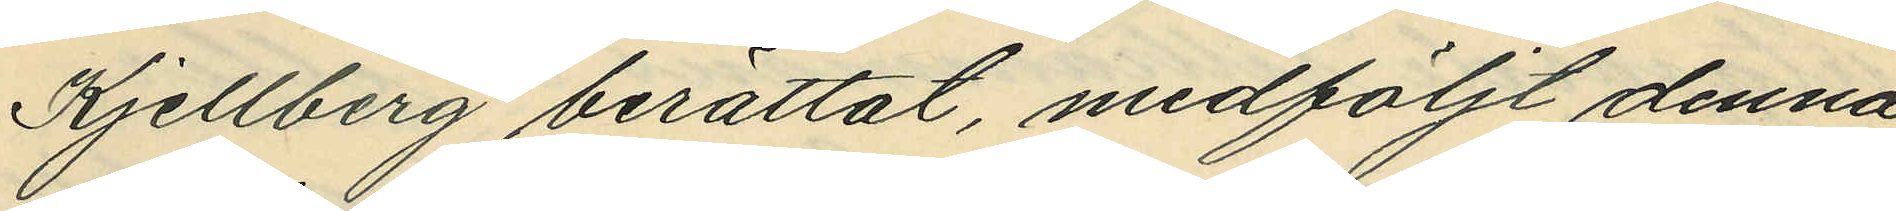Kjellberg berättat medföljt denna
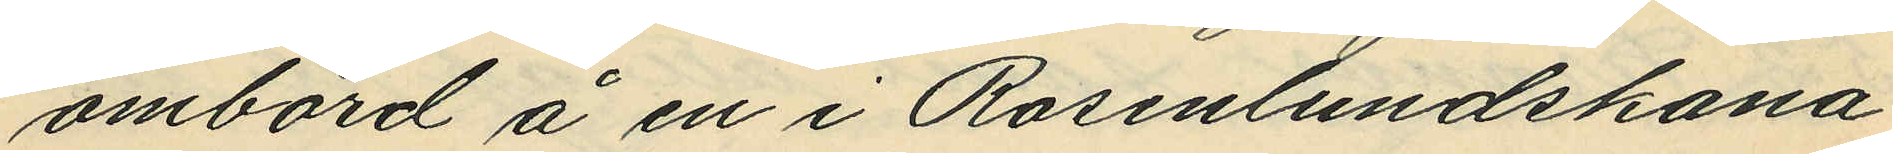ombord å en i Rosenlundskana¬
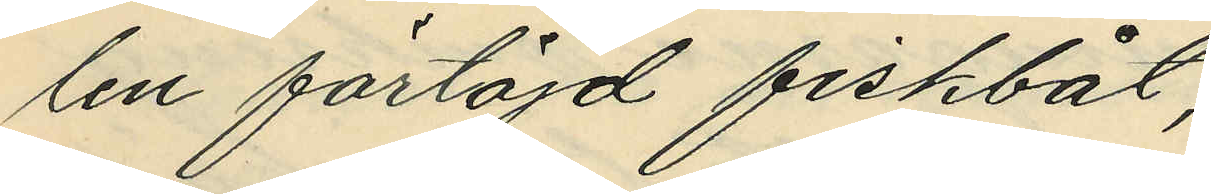len förtöjd fiskbåt;
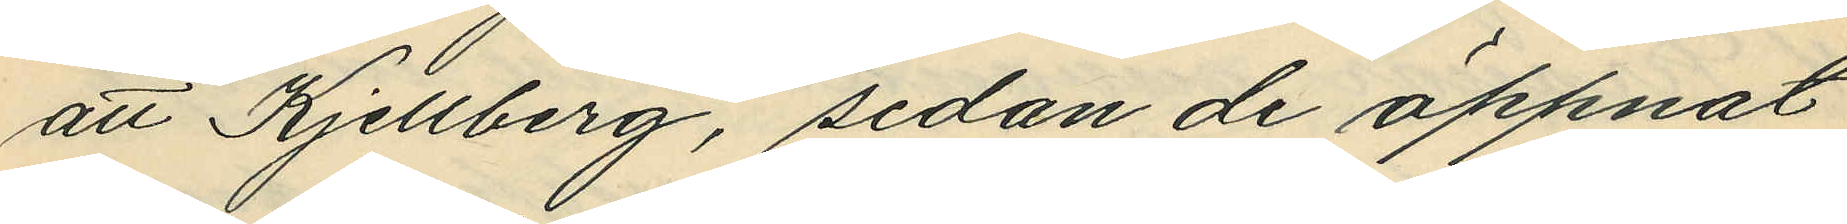att Kjellberg, sedan de öppnat
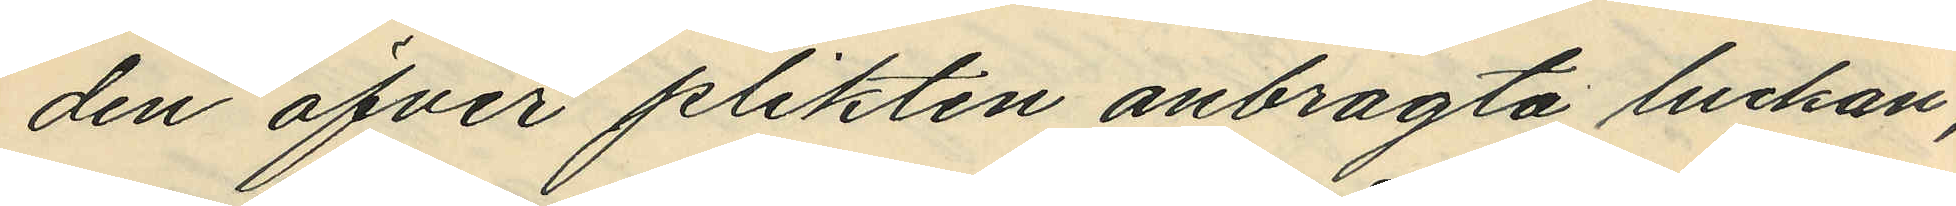den öfver plikten anbragta luckan
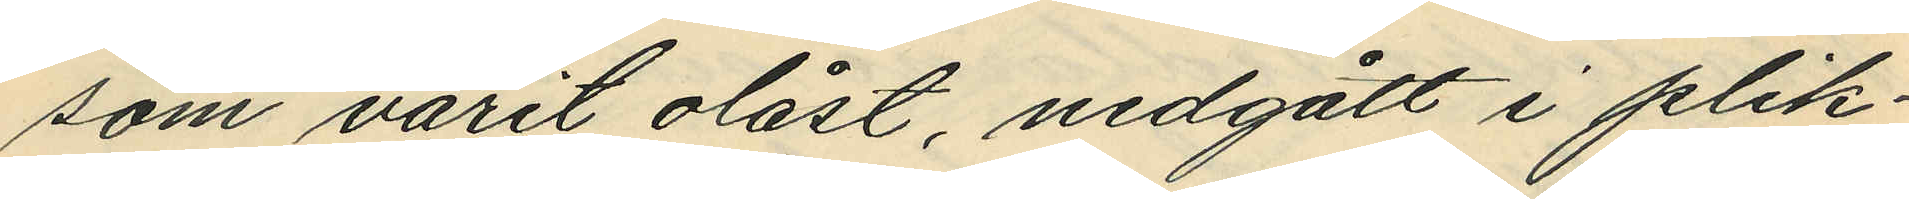som varit olåst nedgått i plik¬
